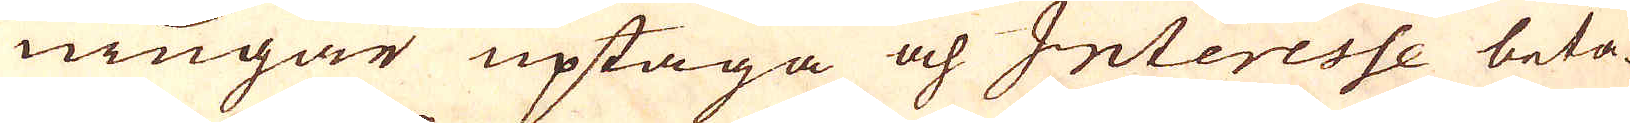ningar uptaga och Interesse beta-
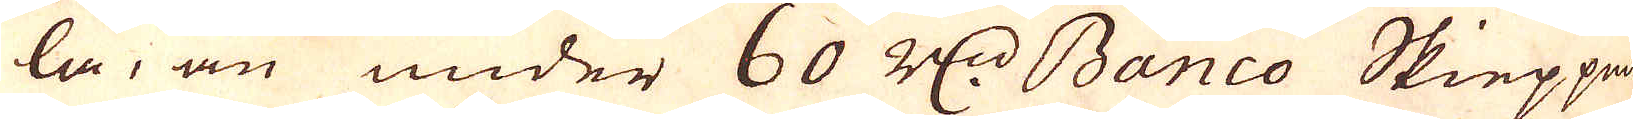la, än under 60 R:dr Banco Skieppun-
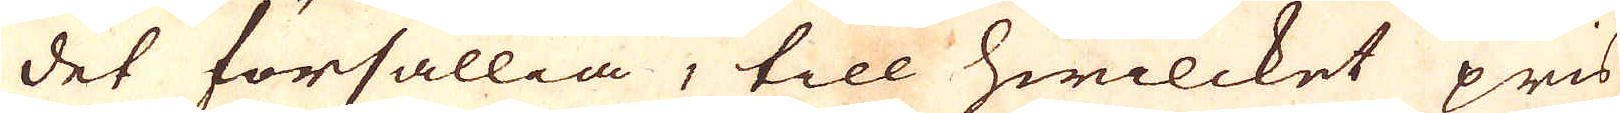det försällia, till hwilcket pris
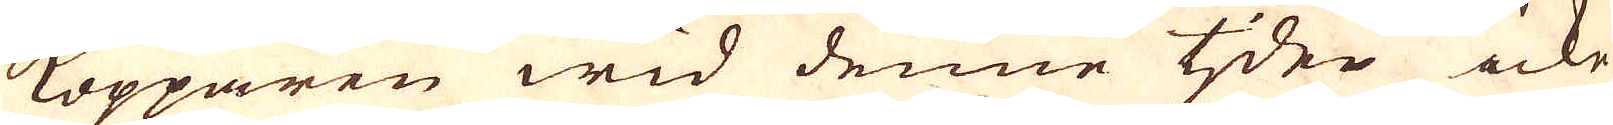Kopparen wid denne tjden icke
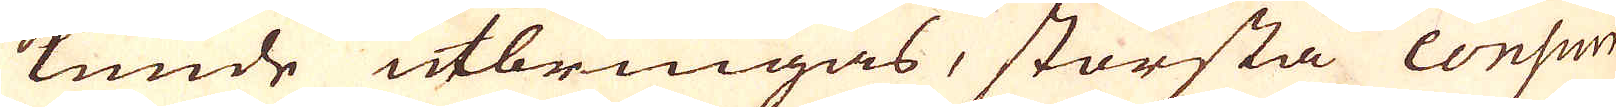kunde utbringas, största consum-
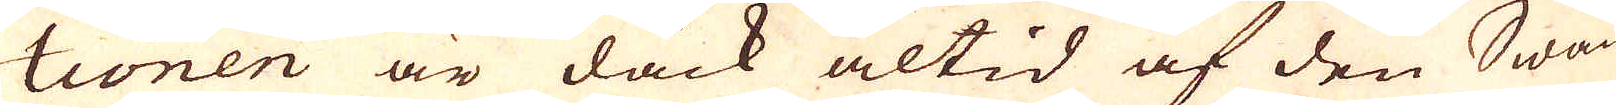tionen är dåck altid af den Swän-
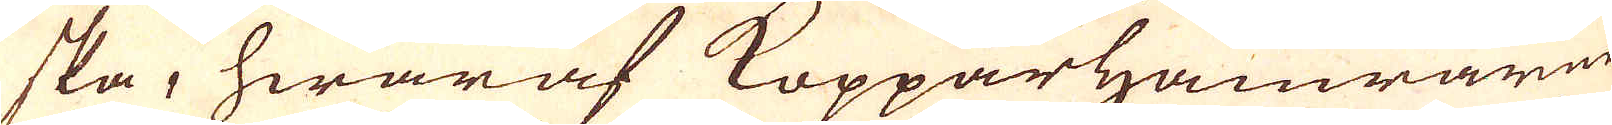ska, hwaraf Kopparhamrarne
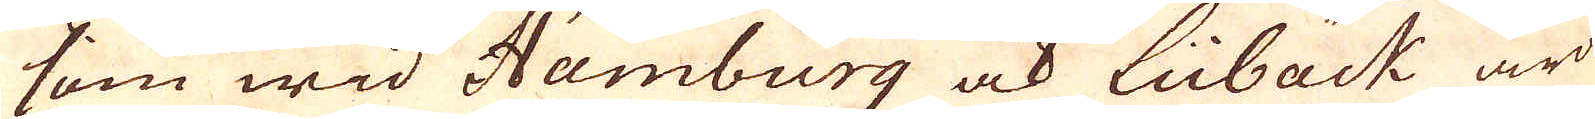som wid Hamburg ock Lübäck äro
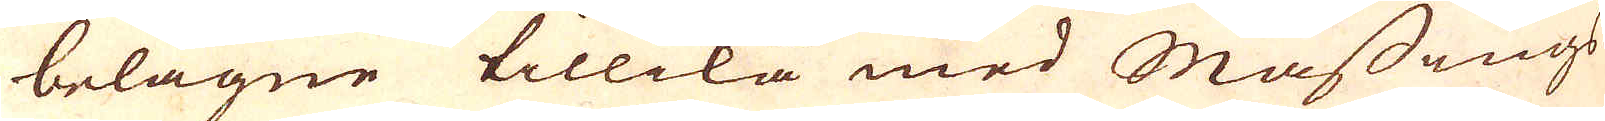belägne tillika med Mässings
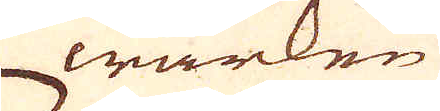wärken
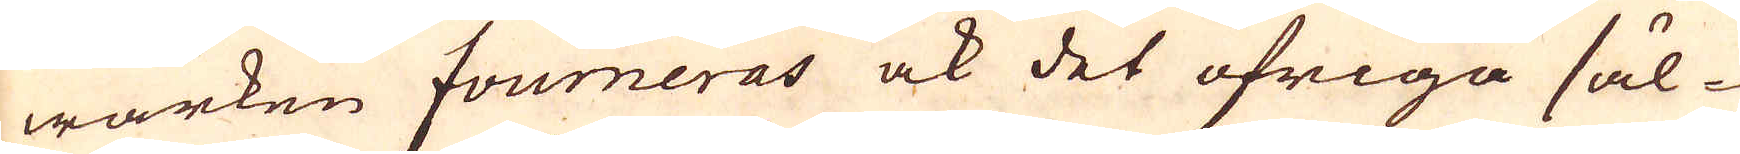wärken fourneras ock det öfriga säl-
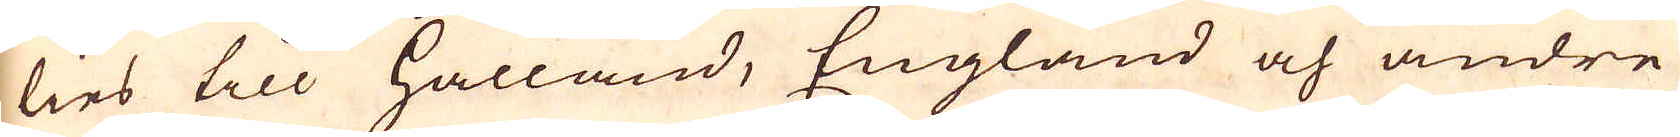lies till Hålland, England och andre
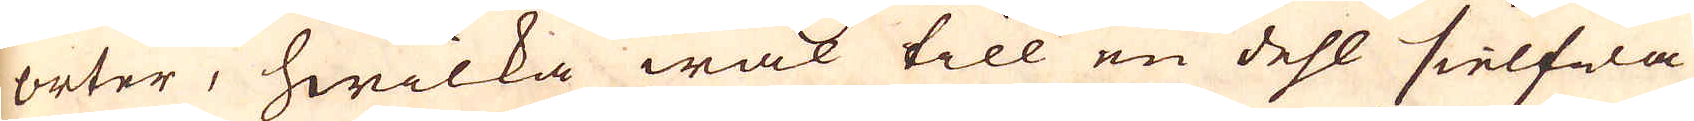orter, hwilka wäl till en dehl sielfwa
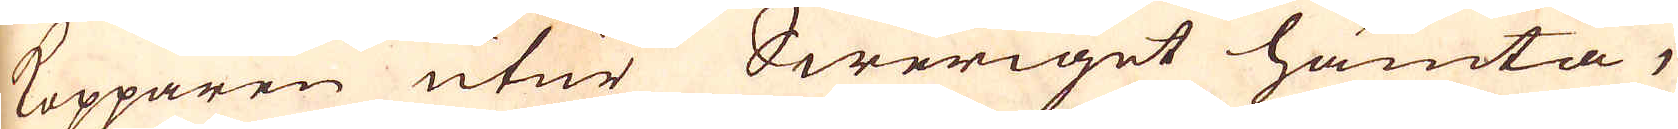Kopparen utur Sweriget hämta,
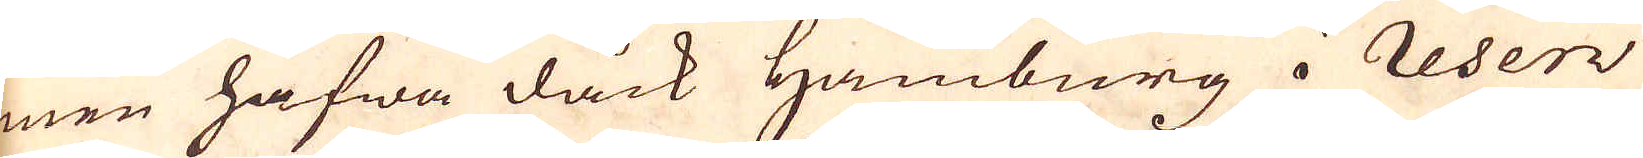men hafwa dåck Hamburg i reserv
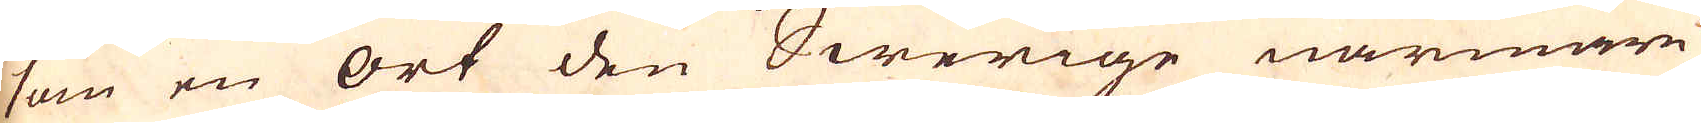som en ort den Swerige närmare
